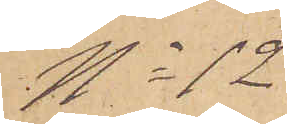No 12
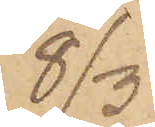8/3
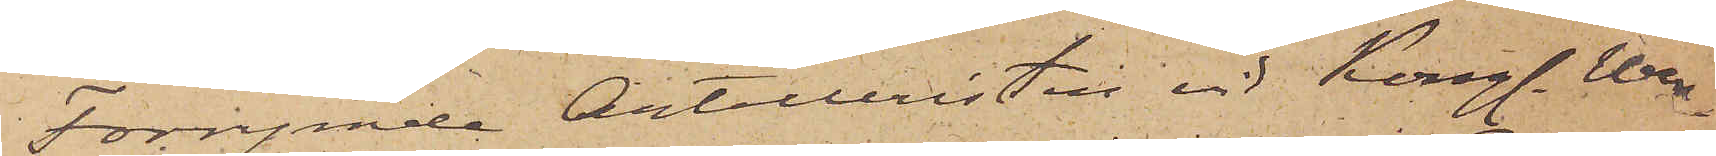Förrymde Artilleristen vid Kongl. Wen¬
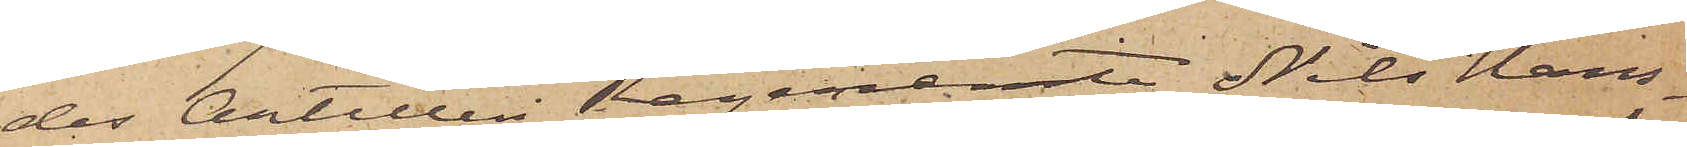des Artilleri Regemente Nils Hans¬
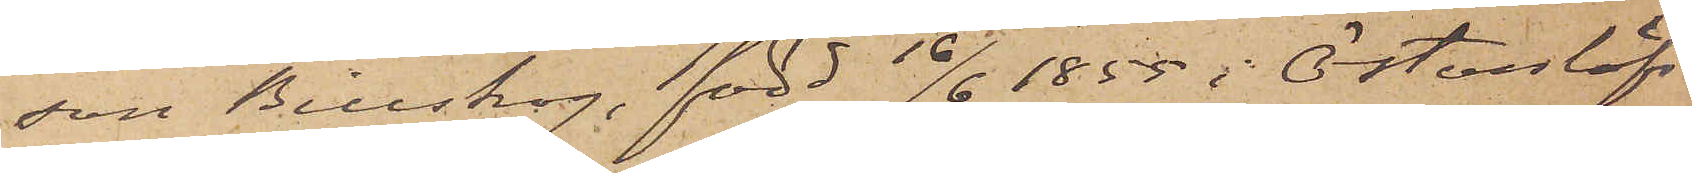son Billskog, född 16/6 1855 i Östanlöfs
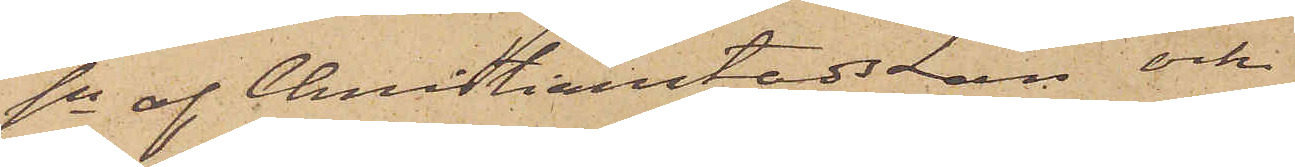sn af Christianstads län och
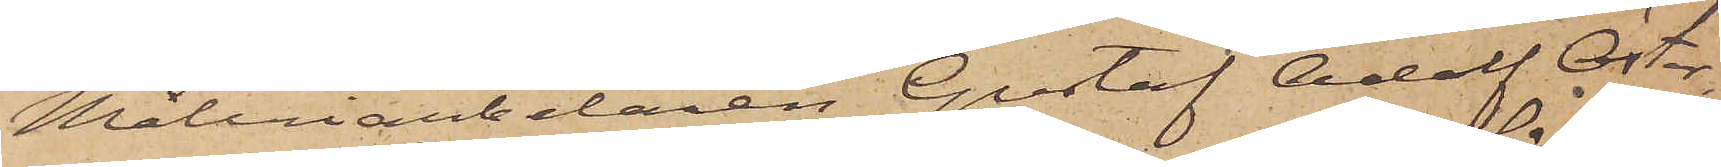Måleriarbetaren Gustaf Adolf Öster¬
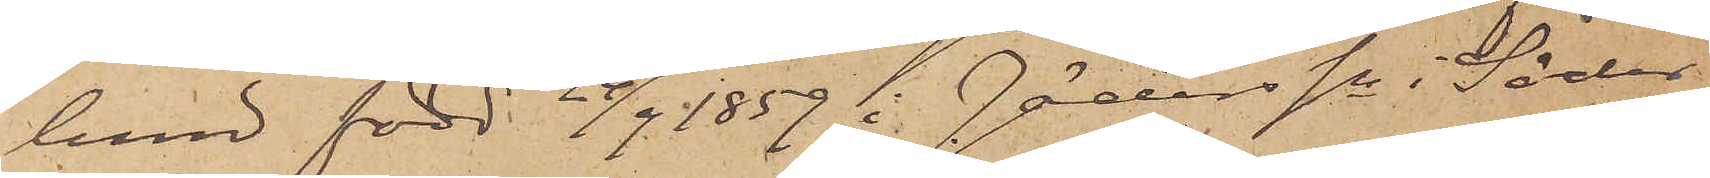lund född 24/9 1859 i Jäders sn i Söder¬
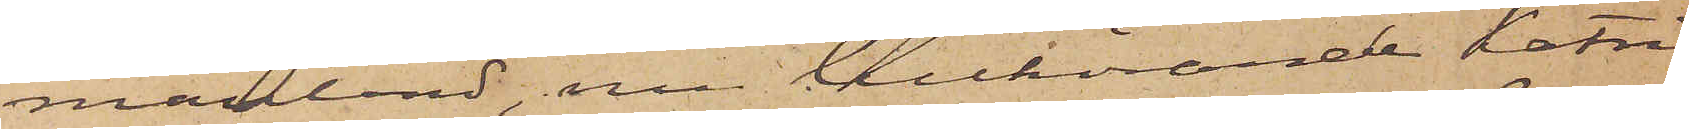manland, nu tillhörande Katri¬
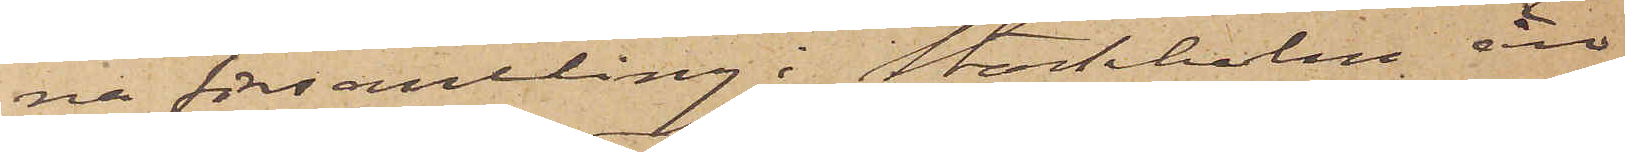na församling i Stockholm äro
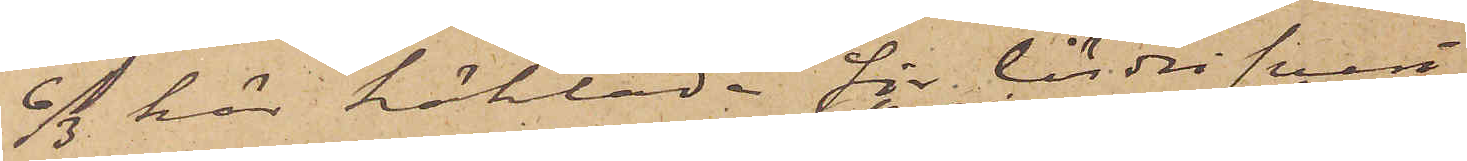6/3 här häktade för lösdrifveri.
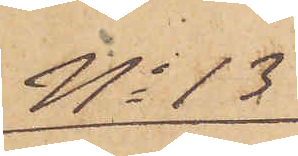No 13
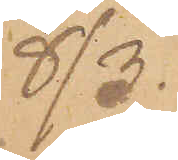8/3.
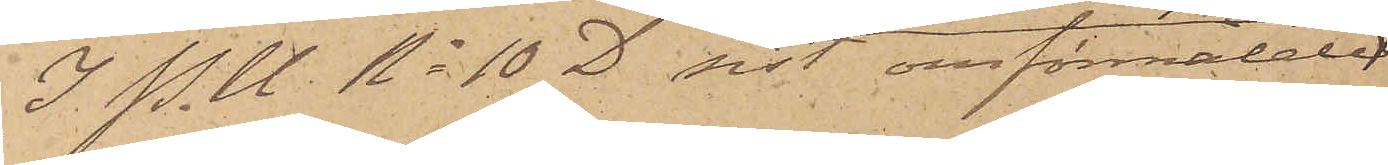I P. U. No 10 D sist omförmälde
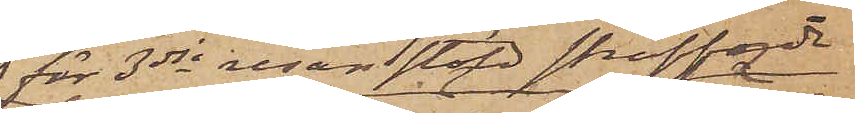för 3dje resan stöld straffade
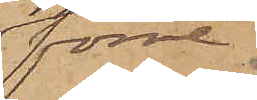förre
